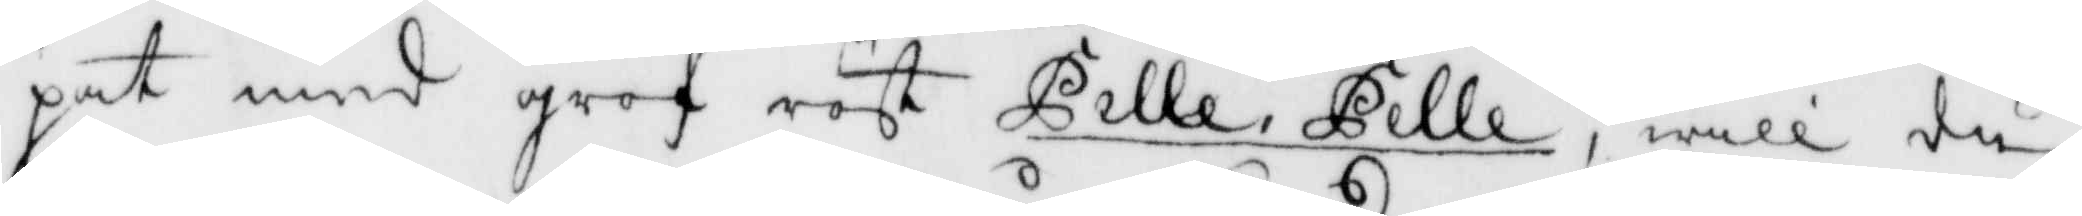pat med grof röst Pelle, Pelle, will du
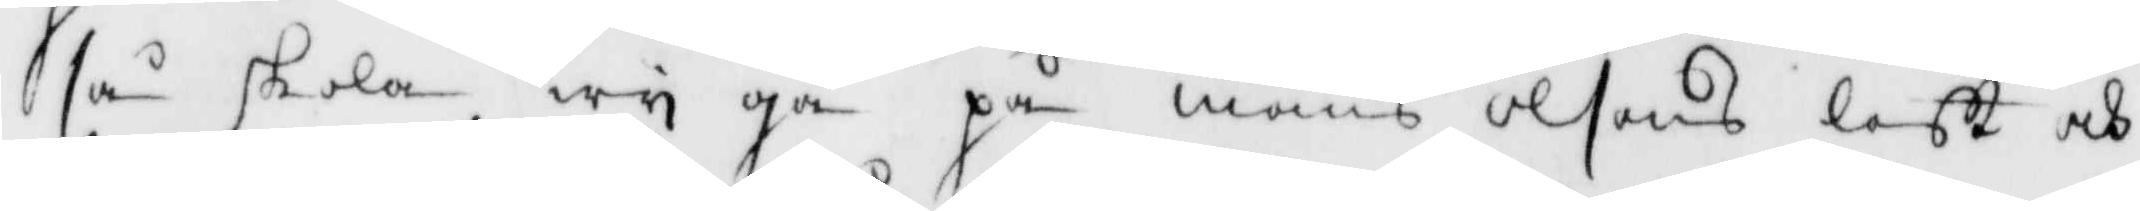så skola wy gå på måns olsons loft och
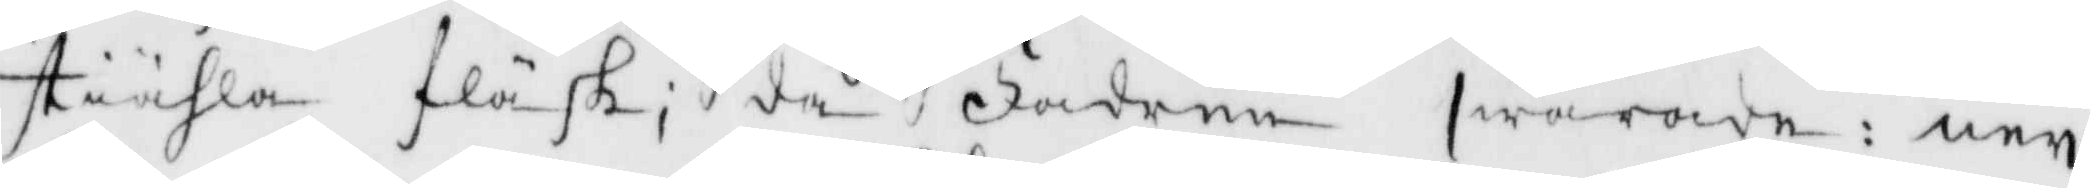stiähla fläsk; då Fadren swarade: ney
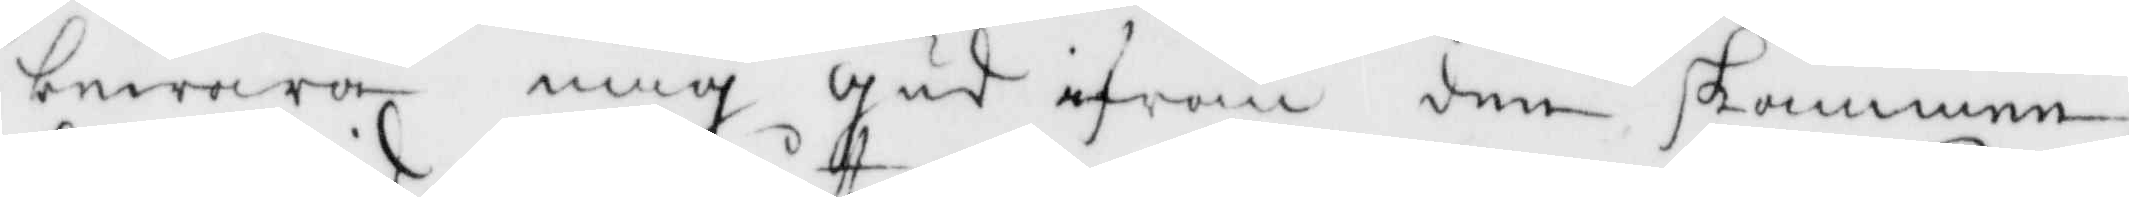bewara mig gud ifrån den skammen
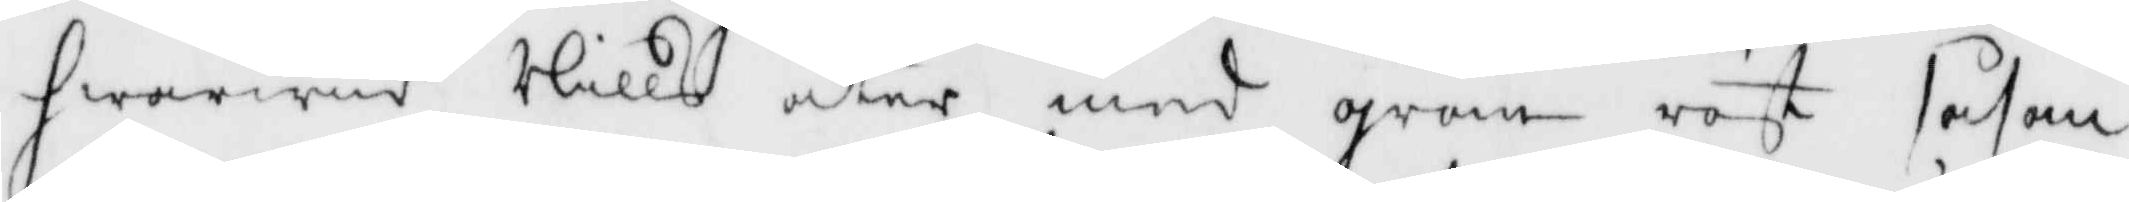hwarvid Nills äter med grow röst såsom
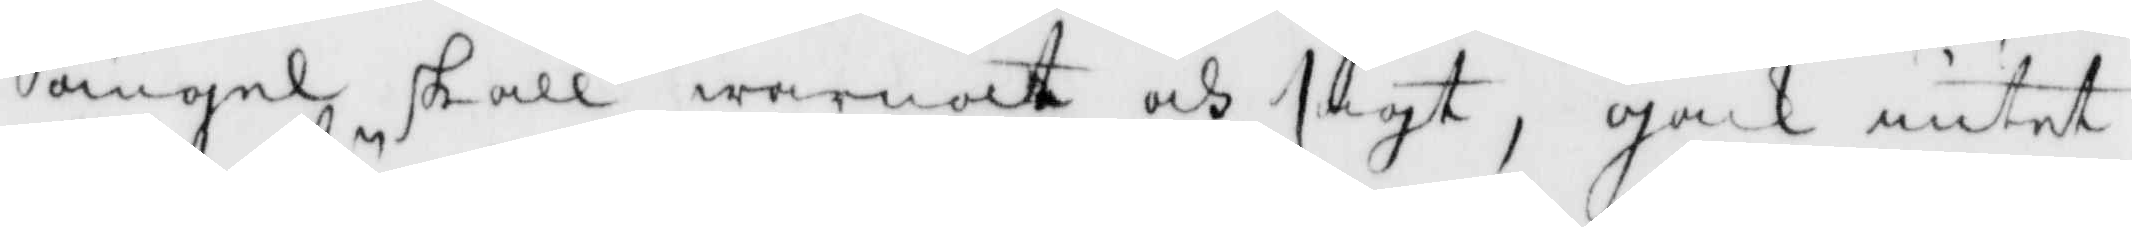ängel skall warnadt och sagt, gack intet
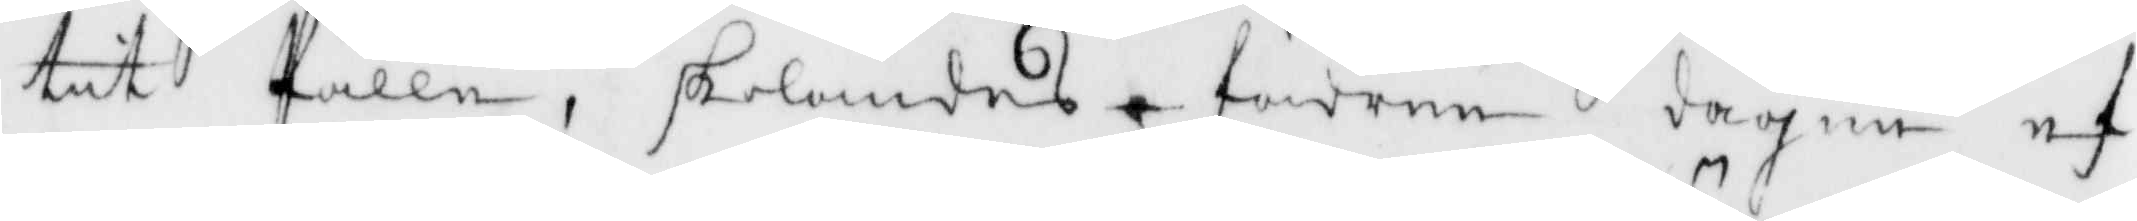tit Pälle, skolandes fadren dagen ef¬
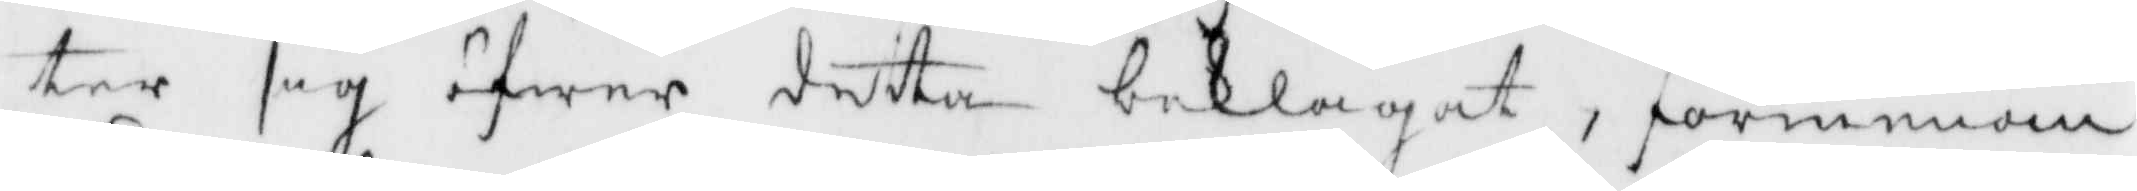ter sig öfwer detta beklagat, förmenan¬
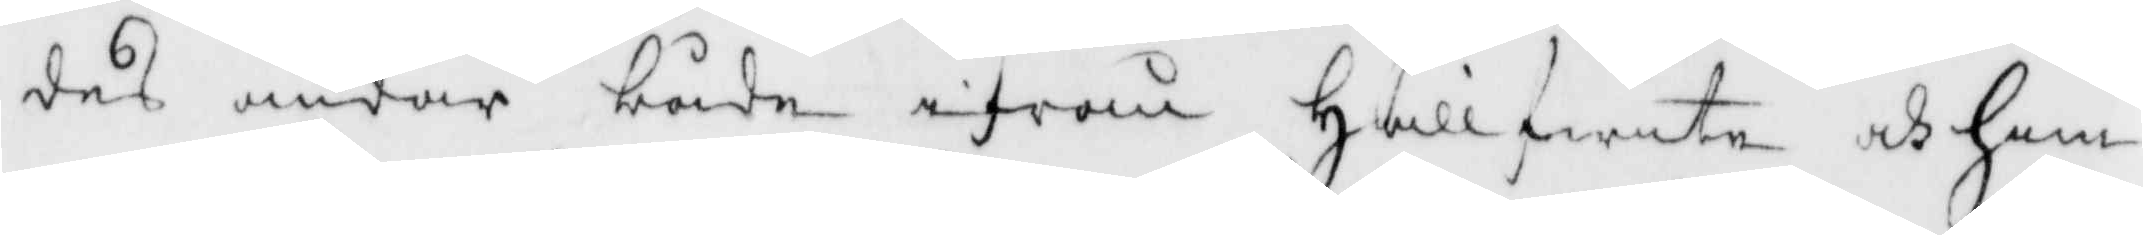des andar både ifrån hellfwete och him¬
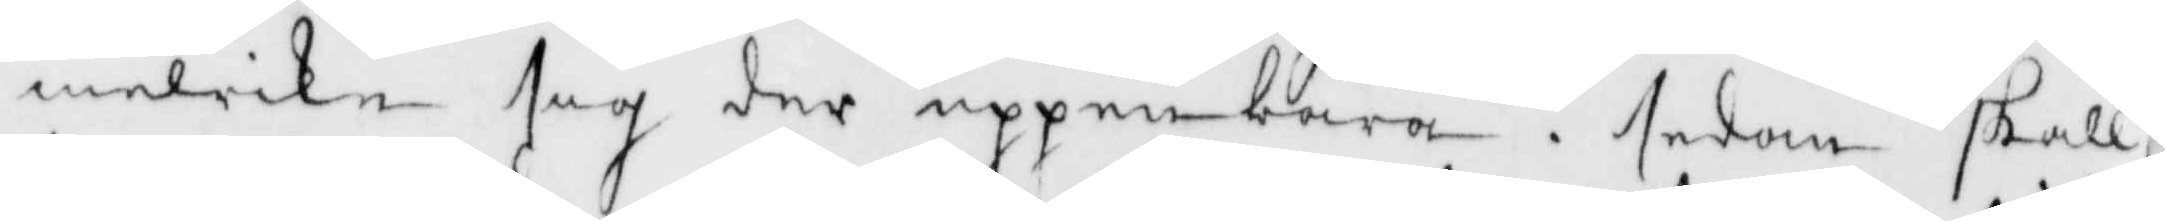melrike sig der uppenbara, sedan skall
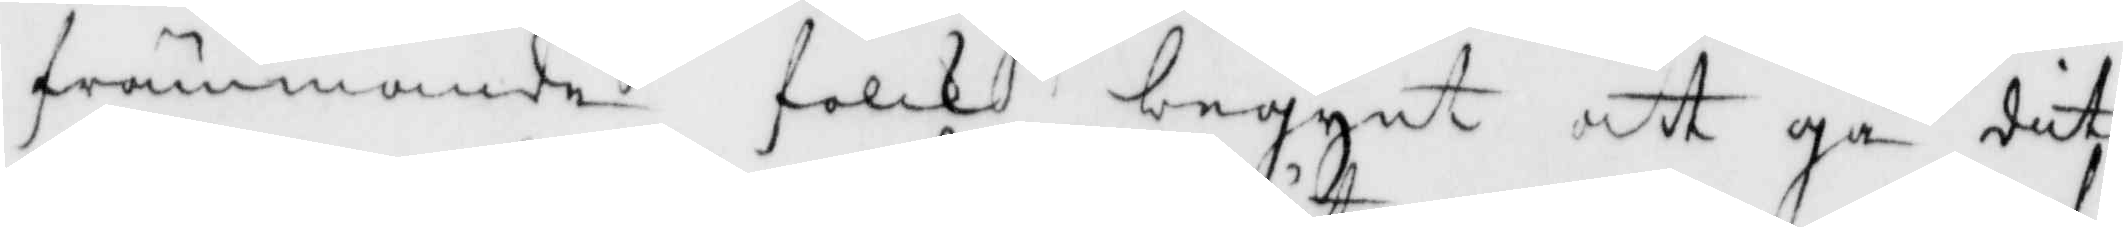främmande folck begynt att gå dit
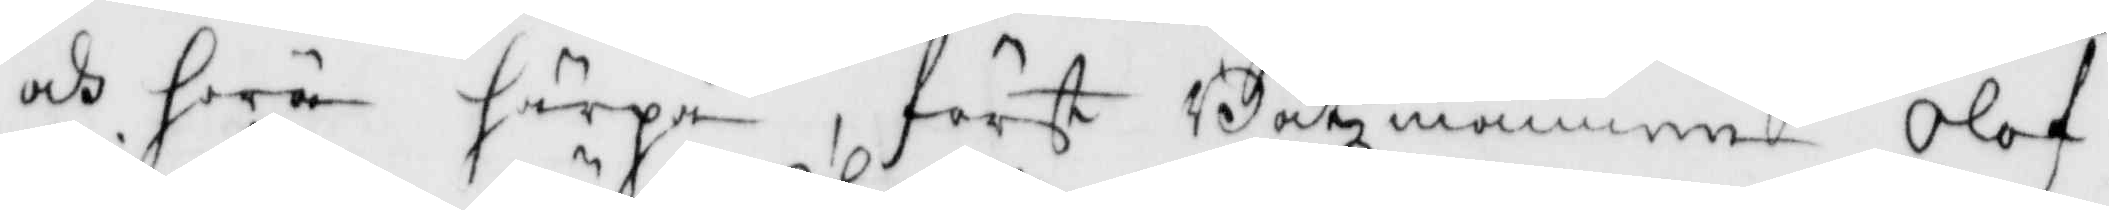och höra härpå, fösrt Båtsmannen Olof
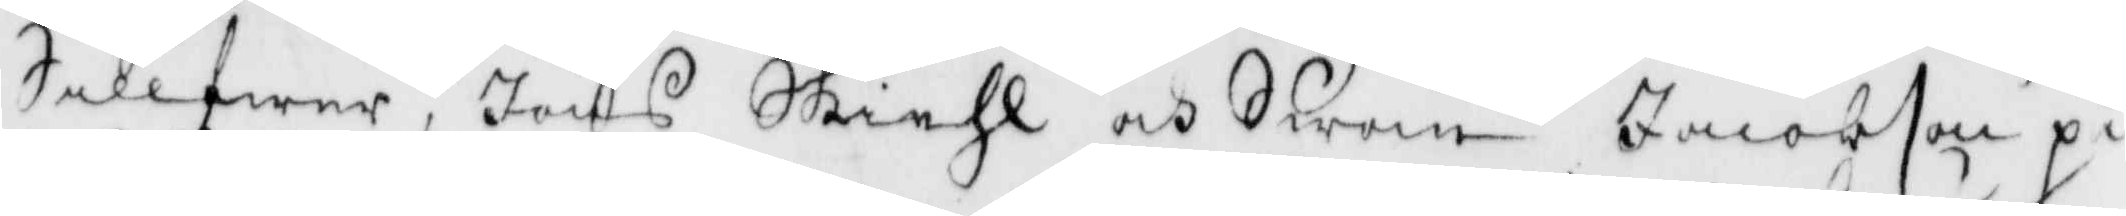Sillfwer, Jöns Skiehl och Swän Jacobson på
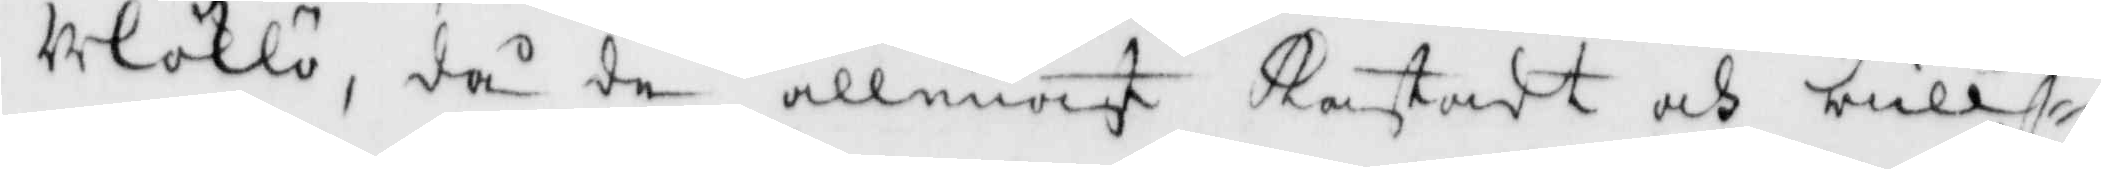Uloklö, d¨den allenast kastadt och bull¬
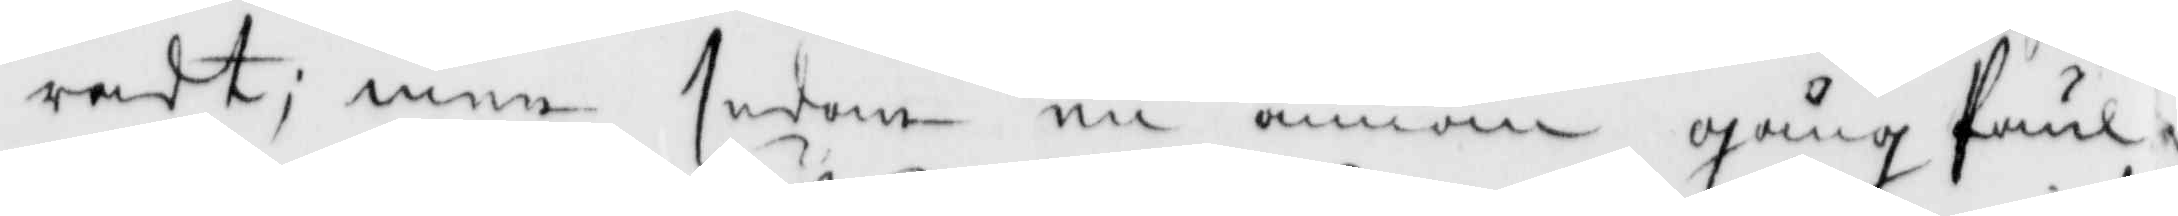radt; men sedan en annan gång Paul
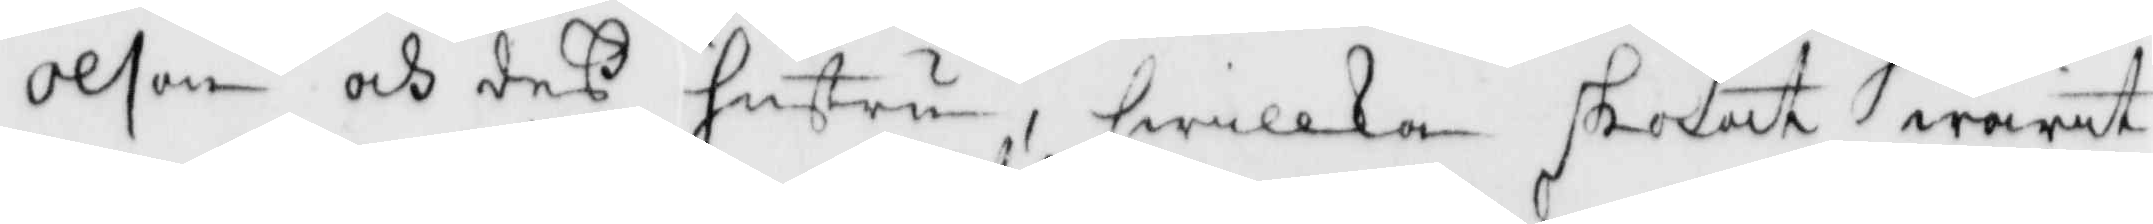olson och deß hustru, hwilken skolat warit
